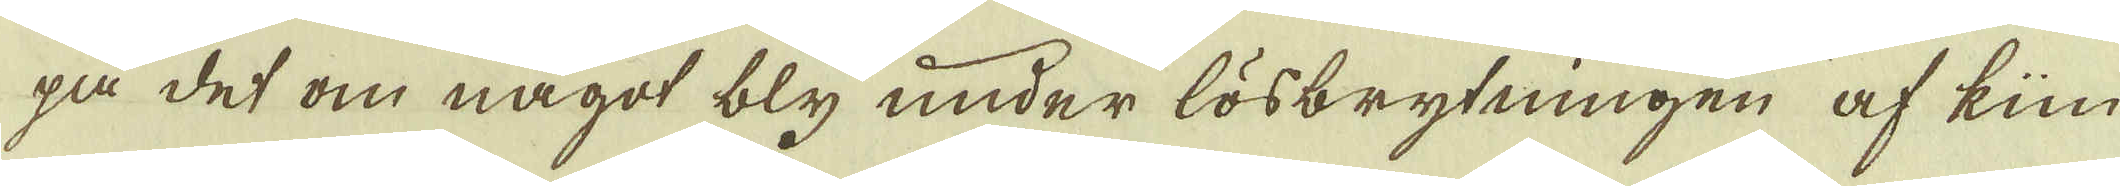på det om något bly under lösbrytningen af kün
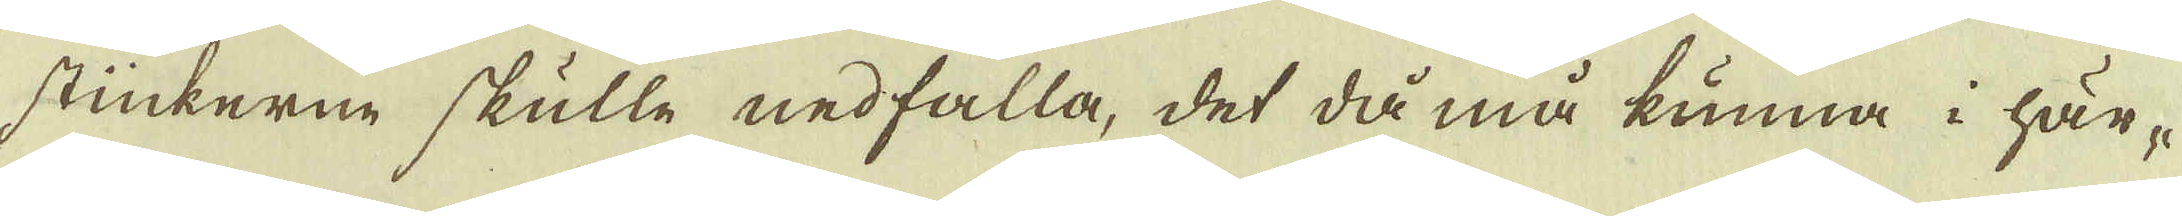stückerne skulle nedfalla, det då må kunna i här-
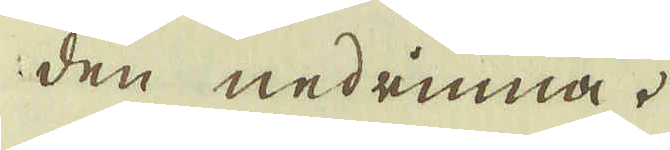den nedrinna.
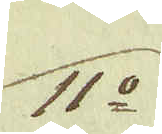11:o
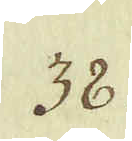38.
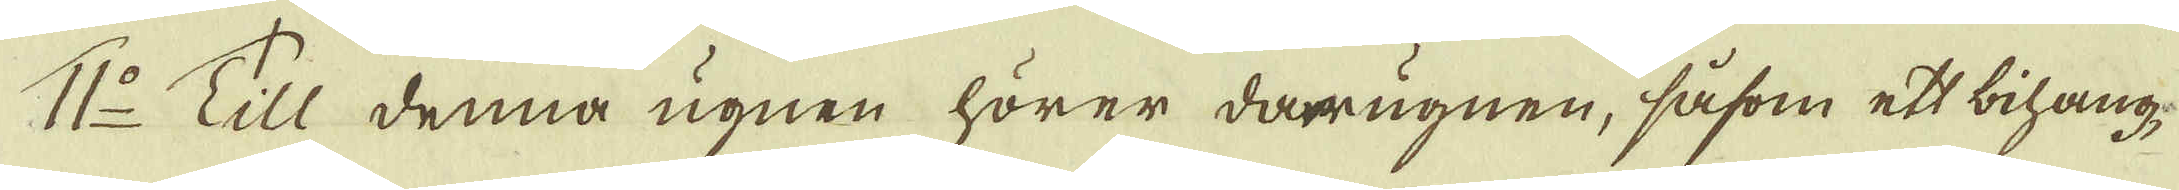11:o Till denna ugnen hörer darrugnen, såsom ett bihang
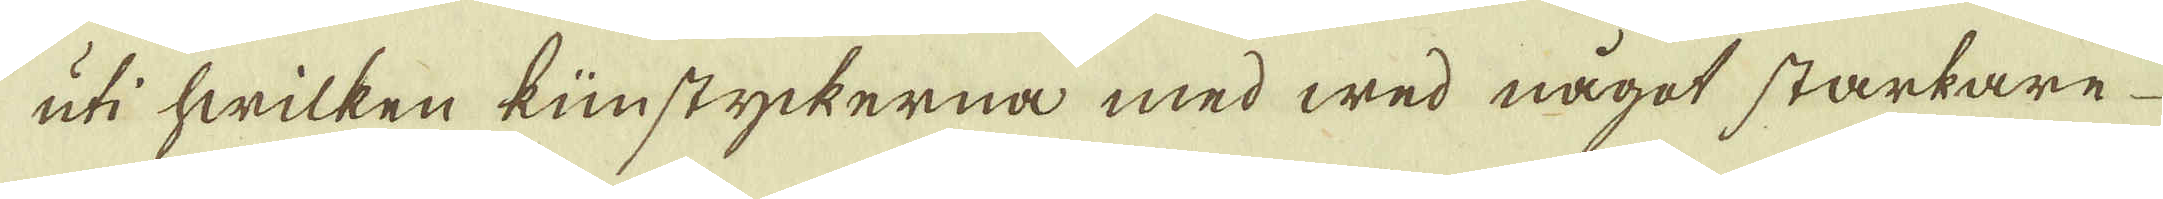uti hwilken künstyckerna med wed något starkare
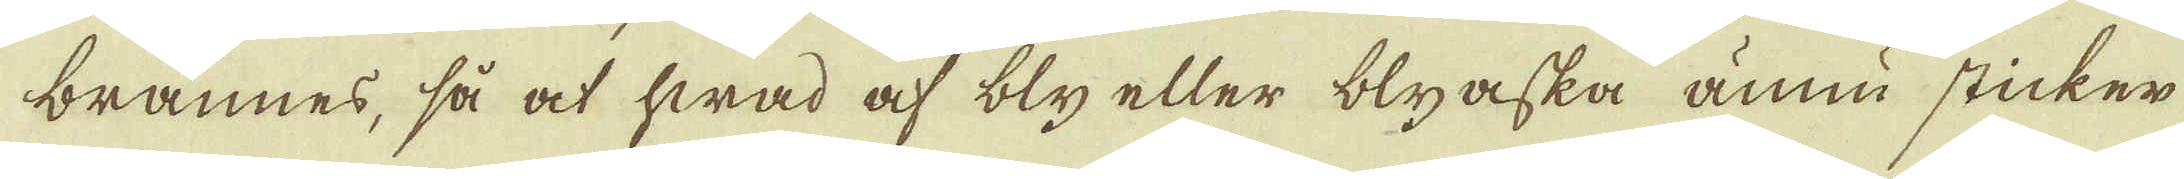brännes, så at hwad af bly eller blyaska ännu sticker
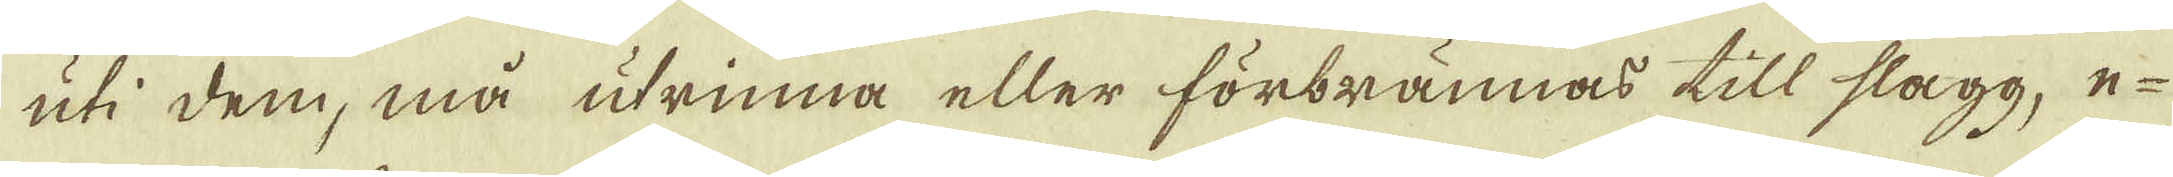uti dem, må utrinna eller förbrännas till slagg, e-
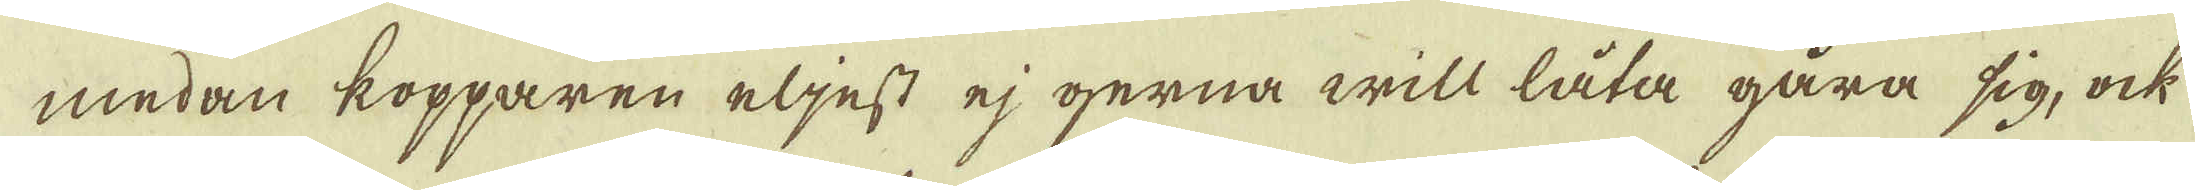medan kopparen eljest ej gerna will låta gåra sig, ock
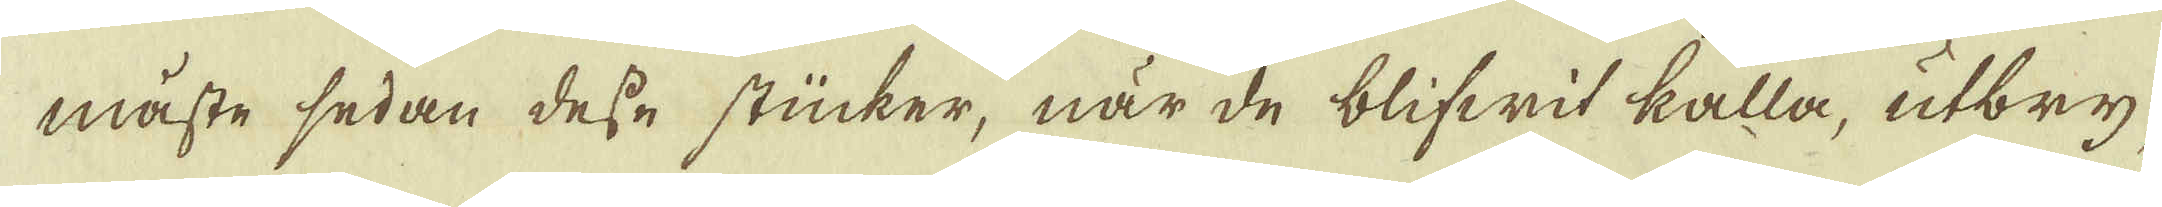måste sedan desse stücker, när de blifwit kalla, utbry-
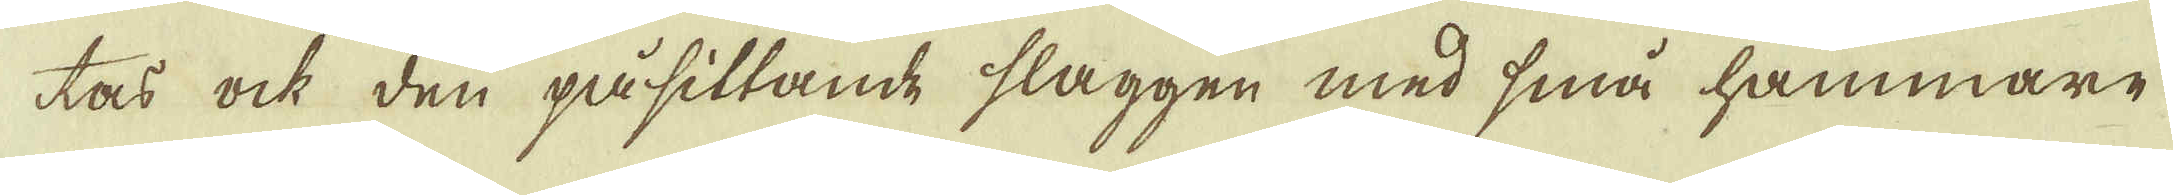tas ock den påsittande slaggen med små hammare
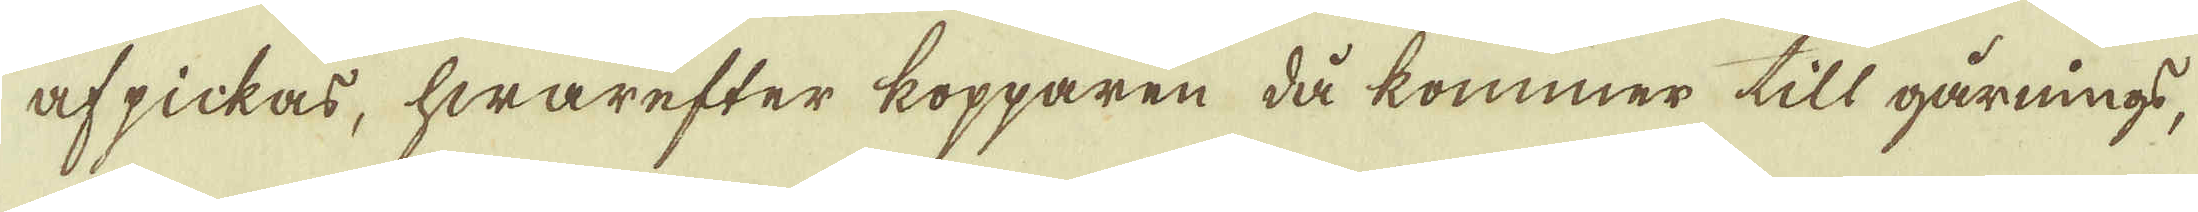afpickas, hwarefter kopparen då kommer till gårnings,
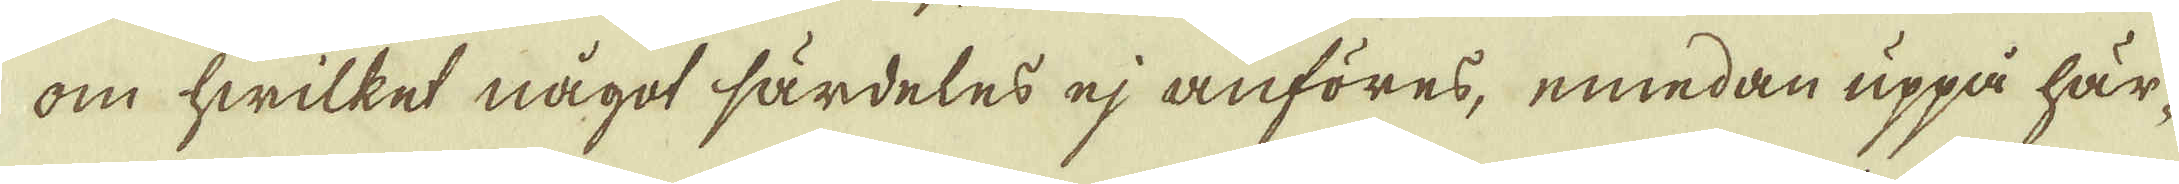om hwilket något särdeles ej anföres, emedan uppå här-
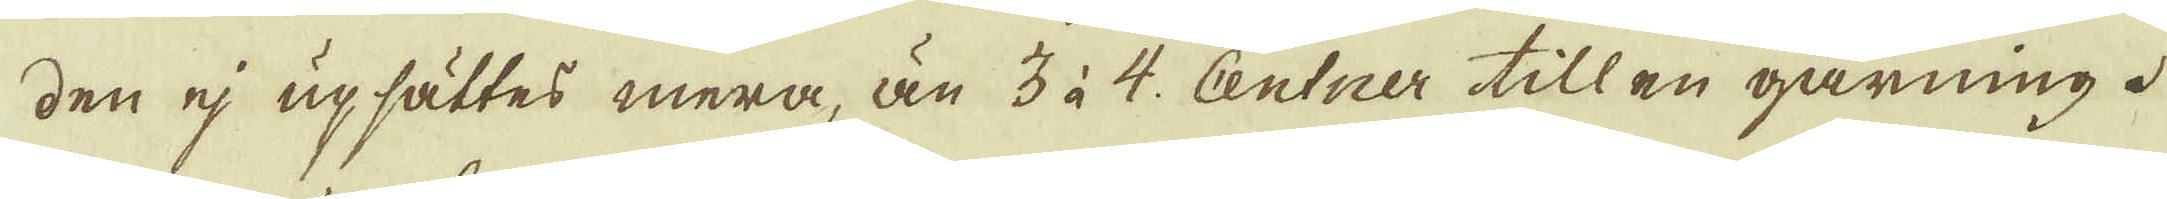den ej upsättes mera, än 3 à 4 Centner till en gårning.
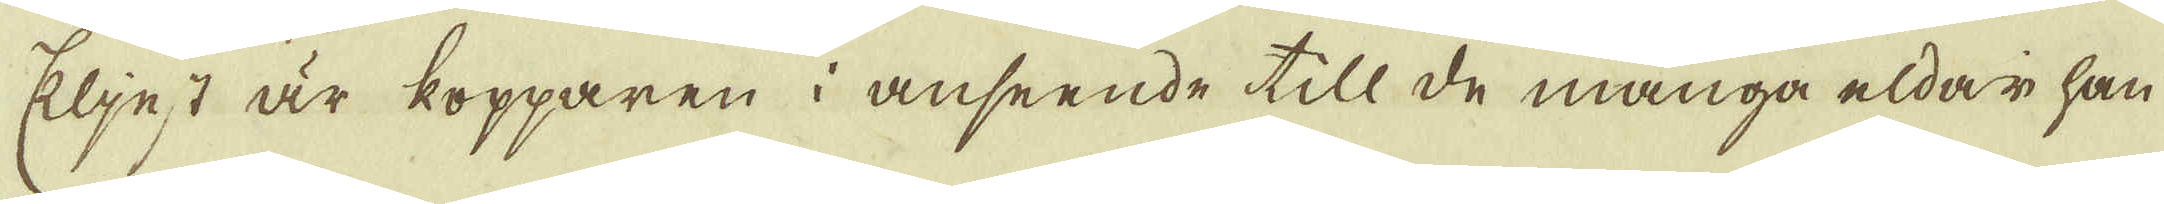Elljest är kopparen i anseende till de många eldar han
